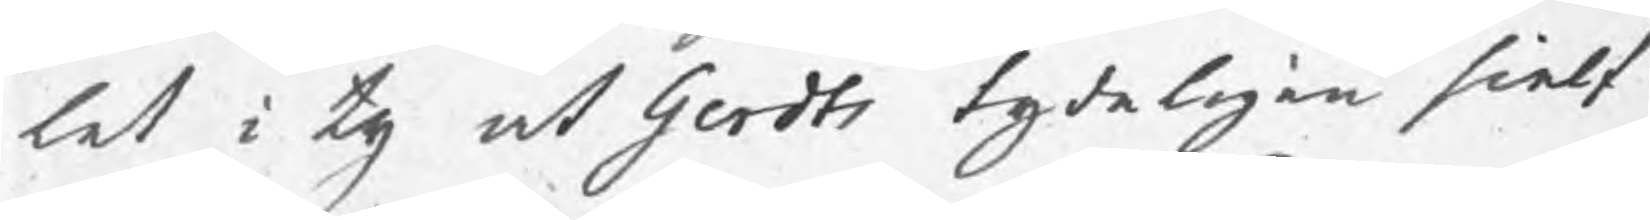let i ty at Gerdts tydeligen sielf
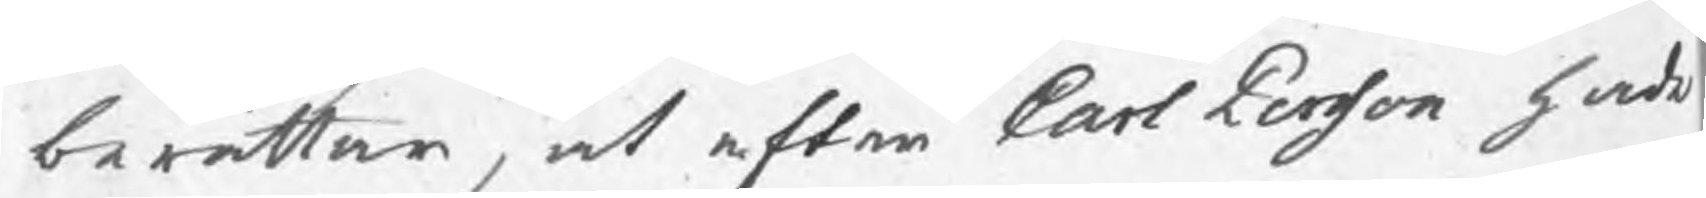berättar, at efter Carl Persson hade
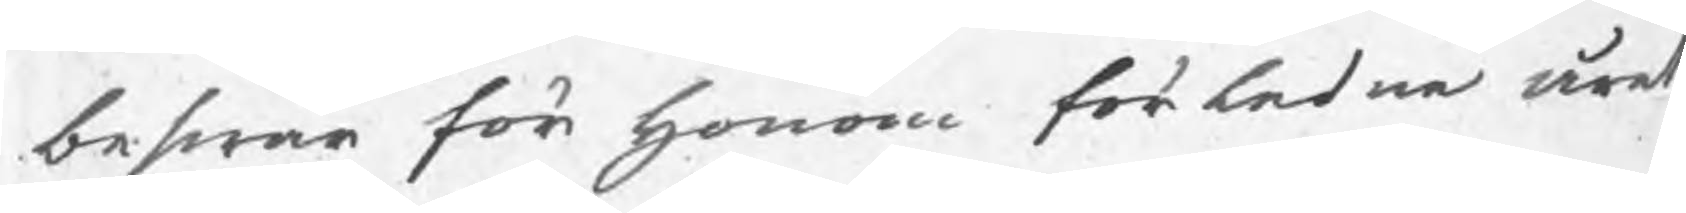beswär för honom förledne året
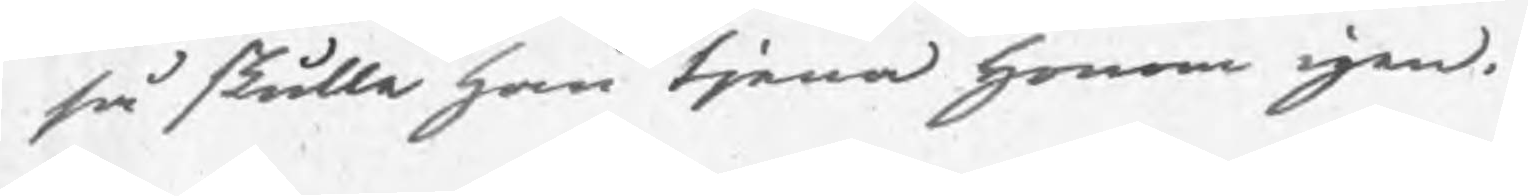så skulle han tjena honom igen.
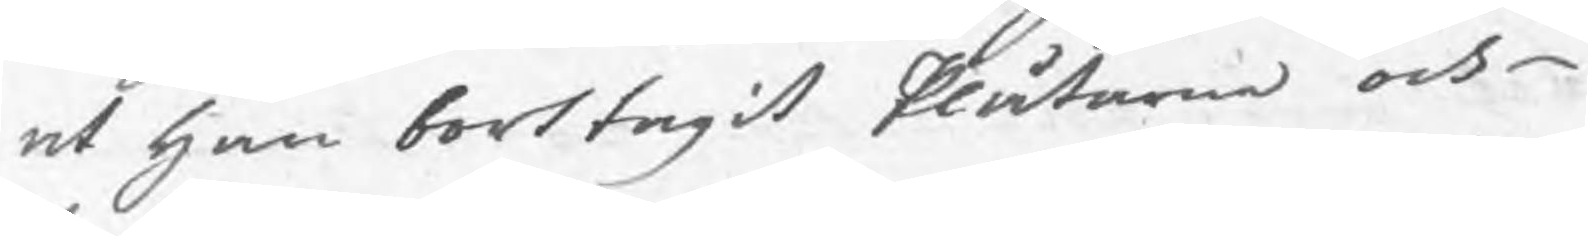at han borttagit Plåtarne och
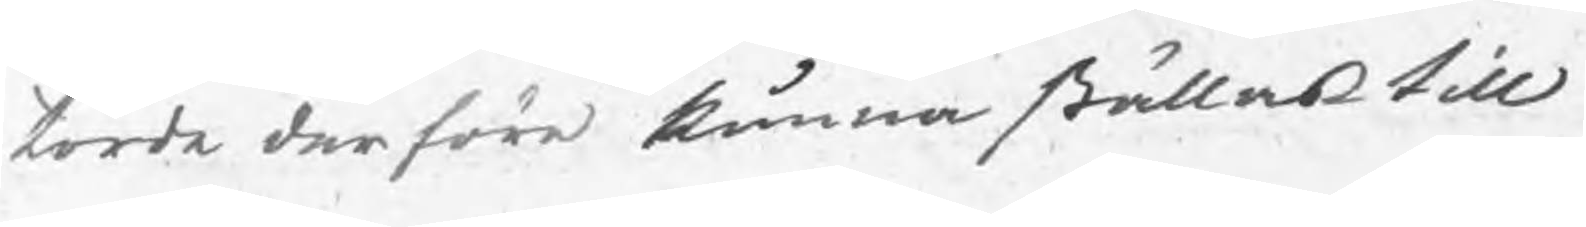torde derföre kunna ställas till
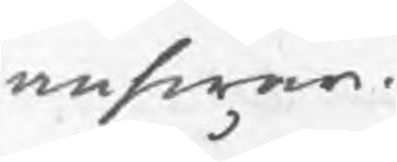answar.
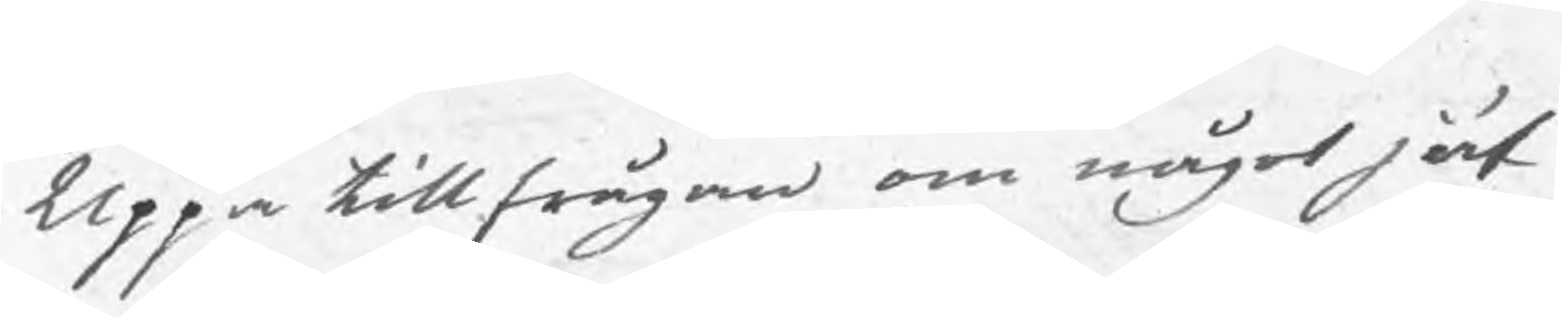Uppå tillfrågan om något jäf
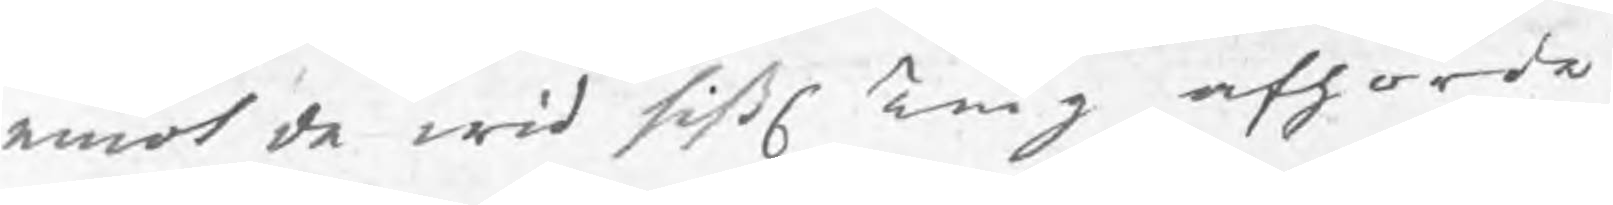emot de wid sistl Ting afhörde
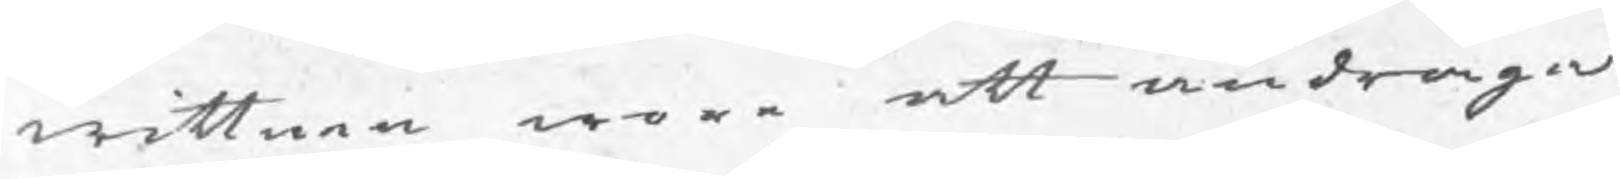wittnen wore att andraga
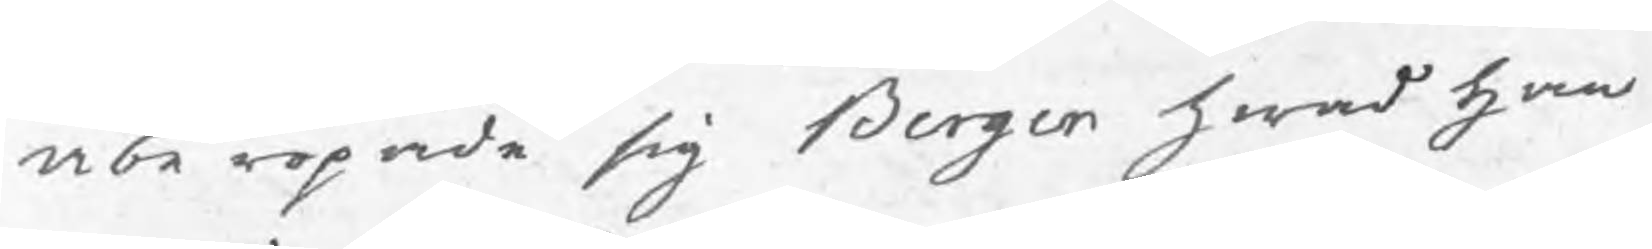åberopade sig Berger hwad han
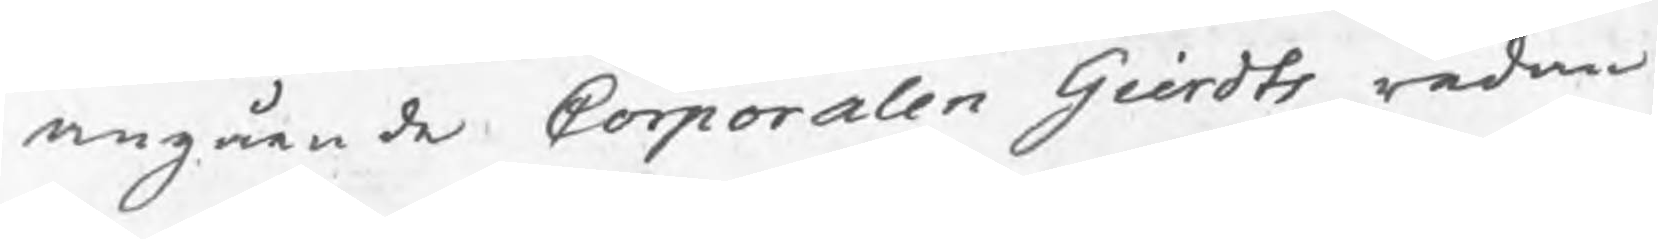angående Corporalen Gierdts redan
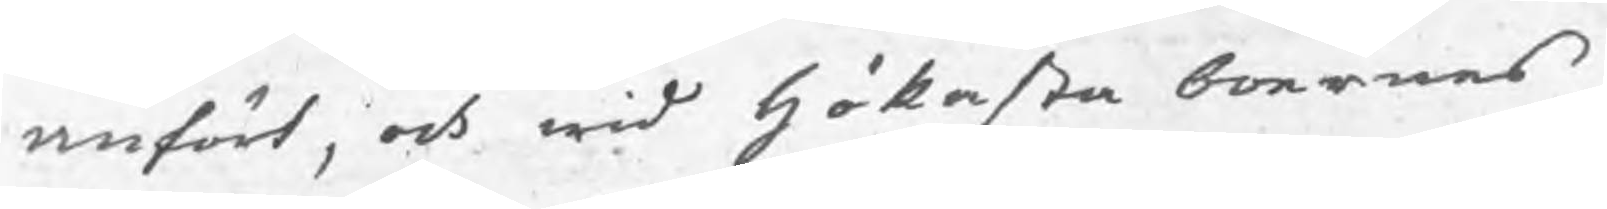anfört, och wid Hökesta boernes
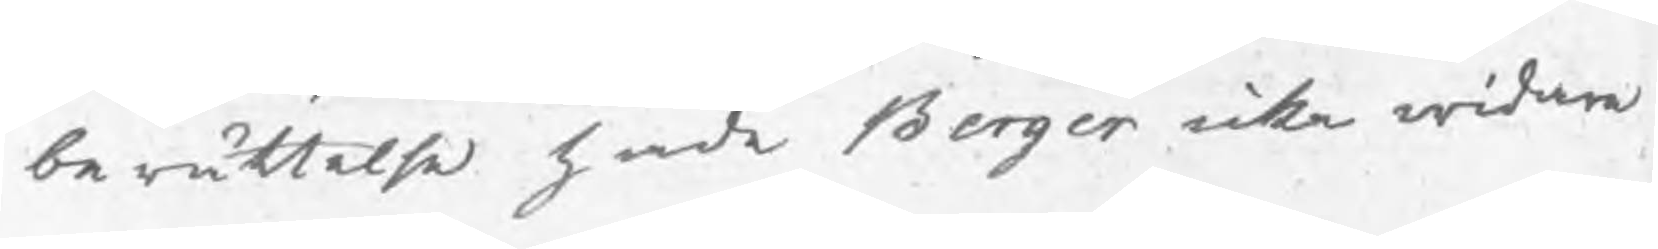berättelse hade Berger icke widare
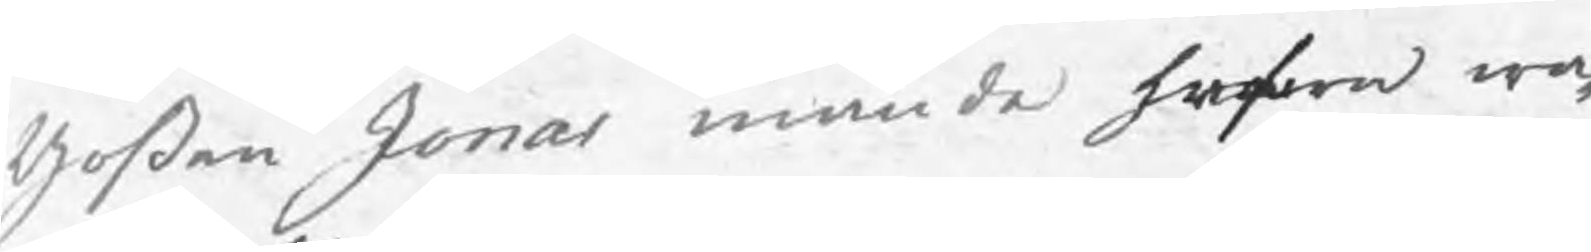goßen Jonas månde hafwa wa¬
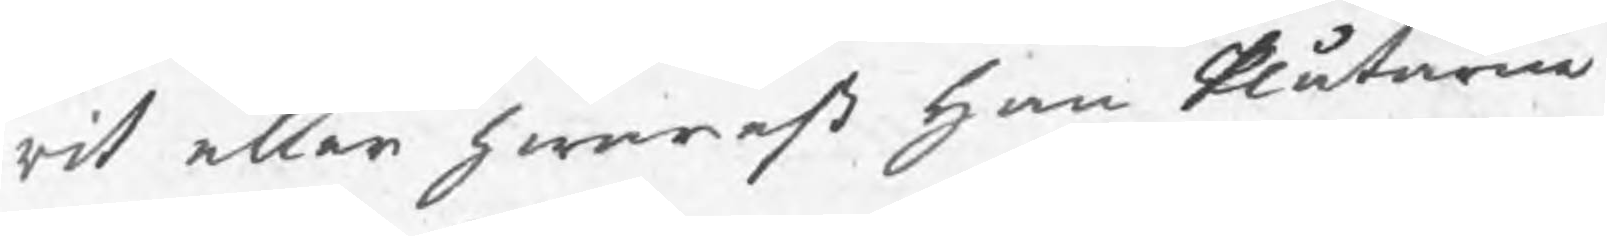rit eller hwarest han Plåtarne
